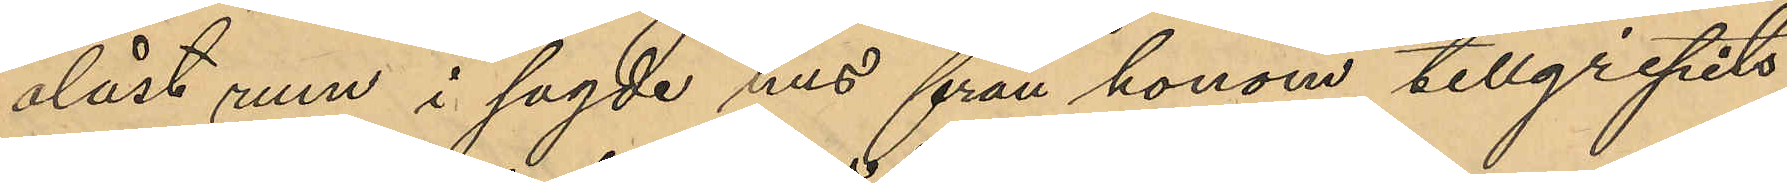olåst rum i sagde hus från honom tillgripits
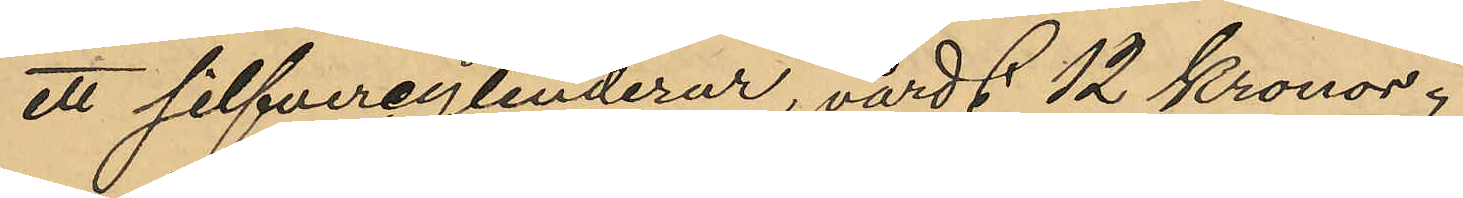ett silfvercylinderur, värdt 12 Kronor;
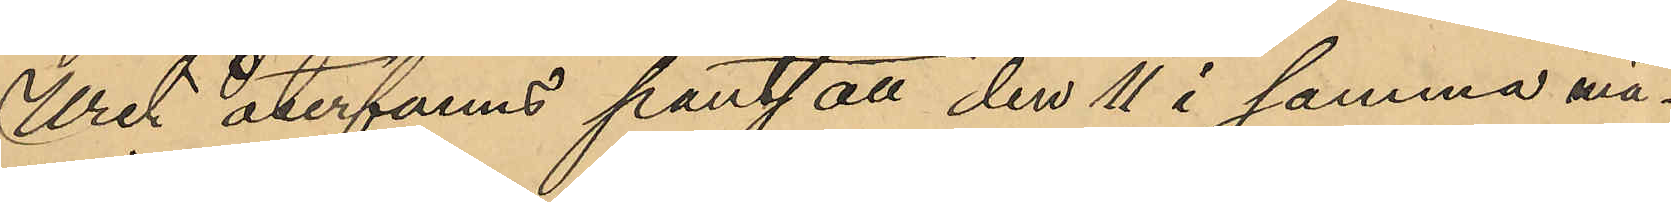Uret återfanns pantsatt den 11 i samma må¬
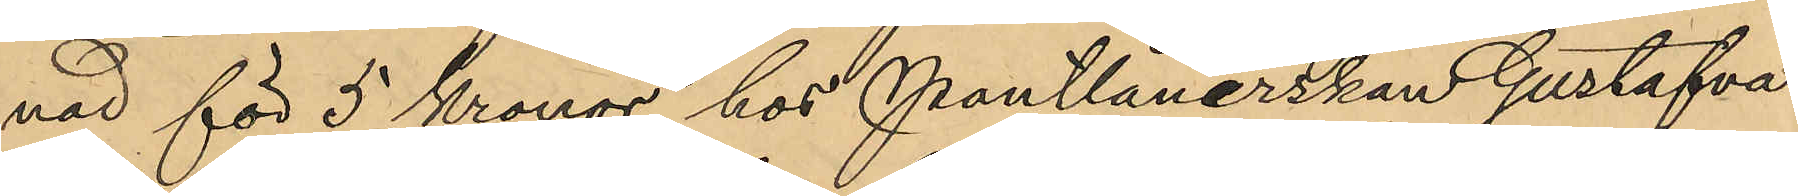nad för 5 Kronor hos Pantlånerskan Gustafva
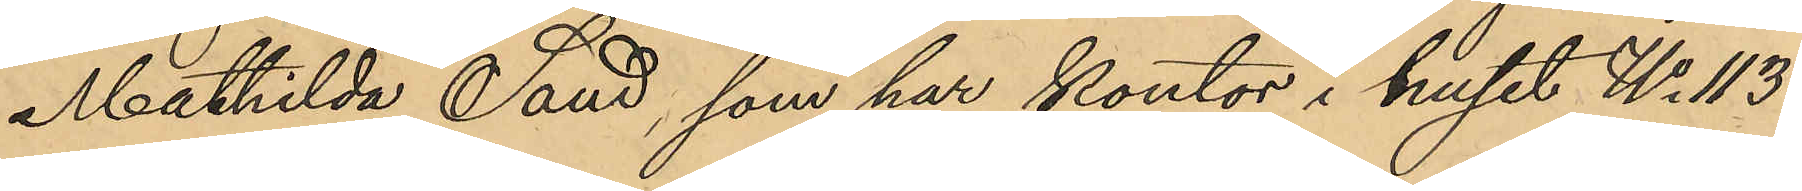Mathilda Sand, som har kontor i huset No 113
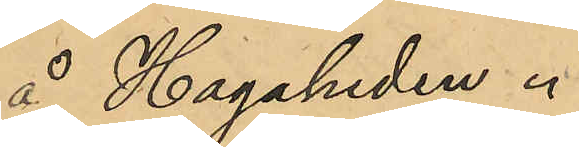å Hagaheden.
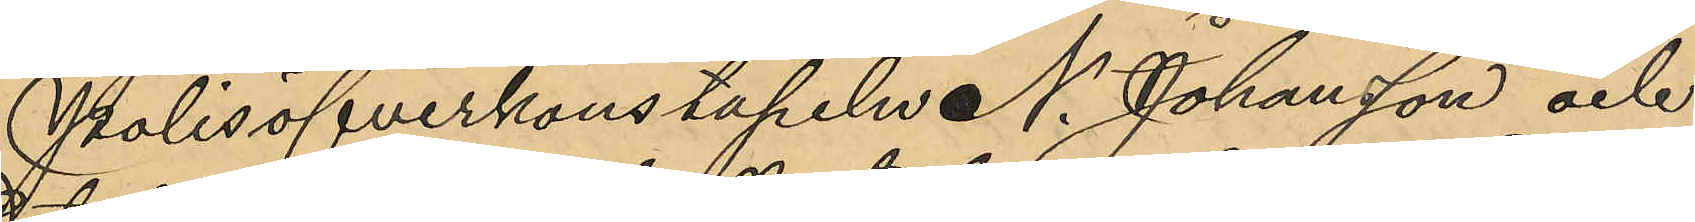Polisöfverkonstapeln N. Johansson och
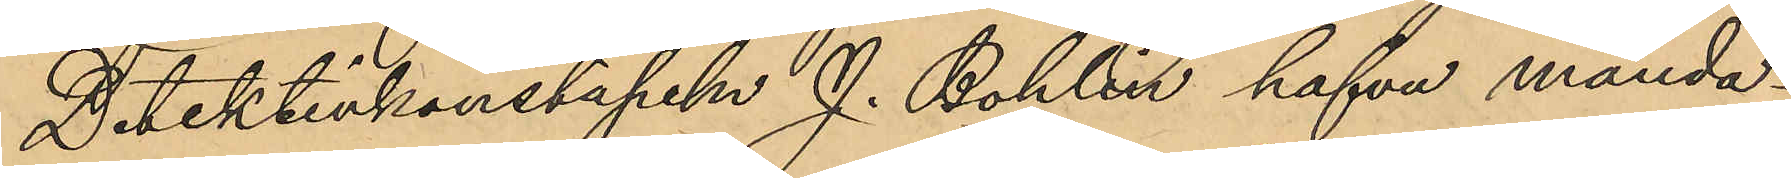Detektivkonstapeln J. Bohlin hafva månda¬
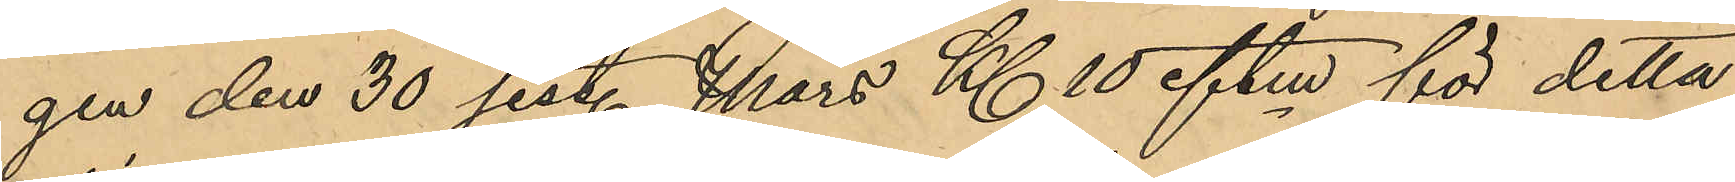gen den 30 sist. Mars Kl. 10 eftm för detta
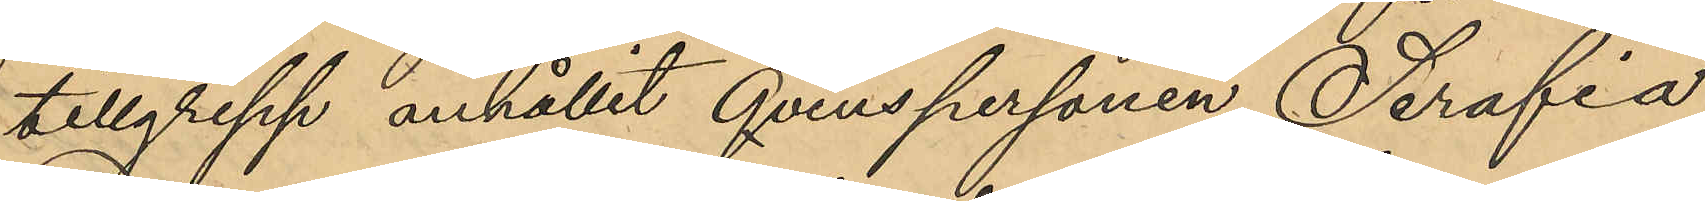tillgrepp anhållit qvinspersonen Serafia
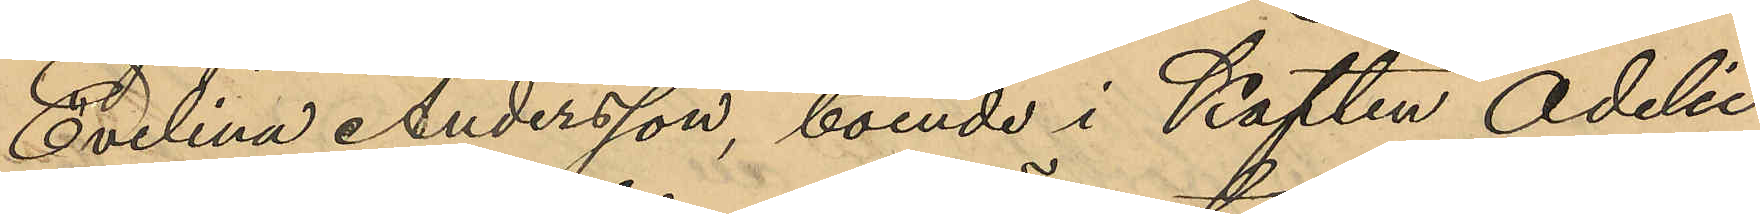Evelina Andersson, boende i Kapten Adelii
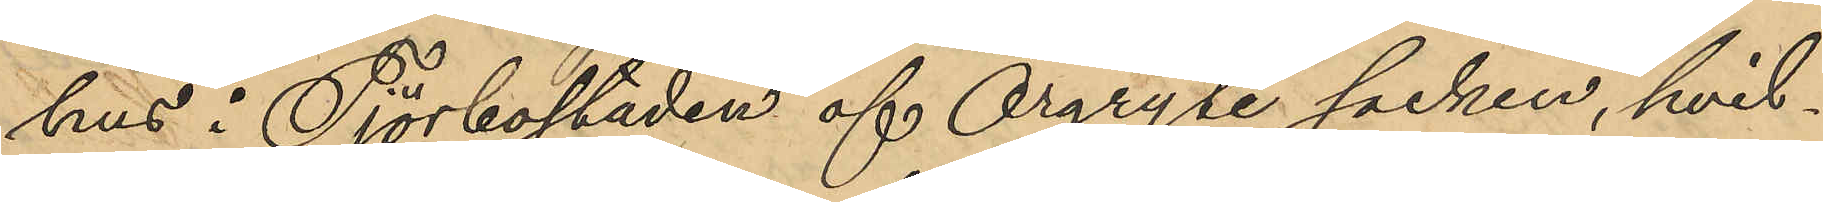hus i Tjörbostaden af Örgryte socken, hvil¬
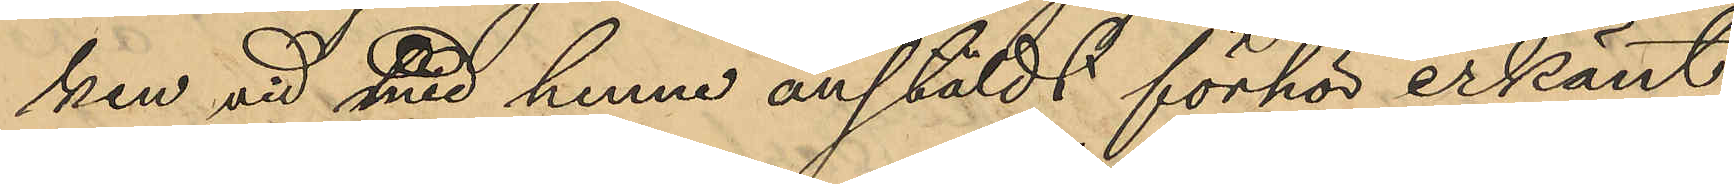ken vid med henne anstäldt förhör erkänt
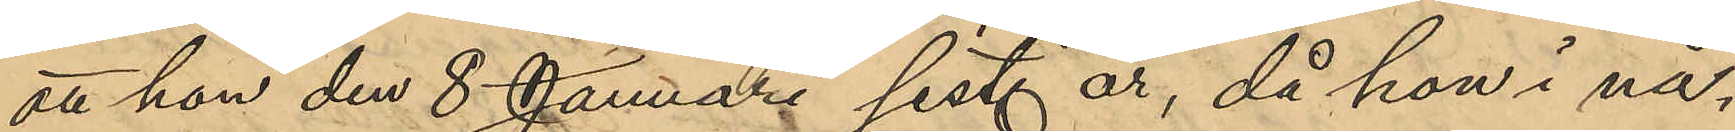att hon den 8 Januari sist. år, då hon i nå¬
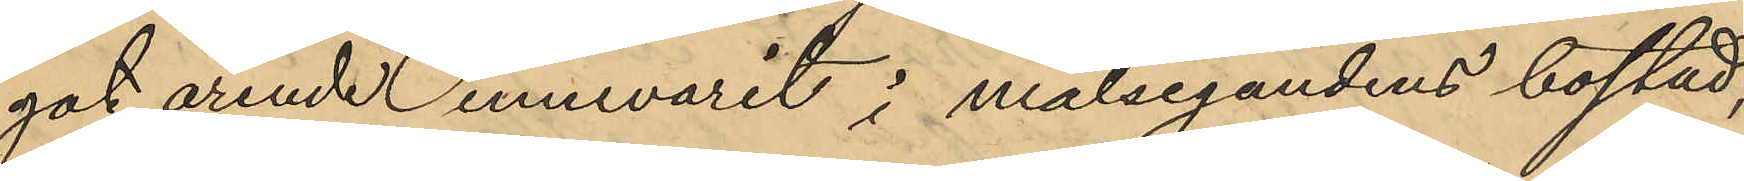got ärende innevarit i målsegandens bostad,
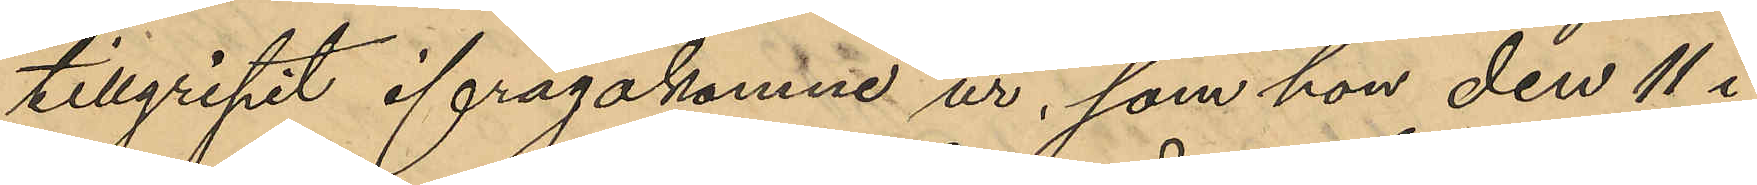tillgripit ifrågakomne ur, som hon den 11 i
